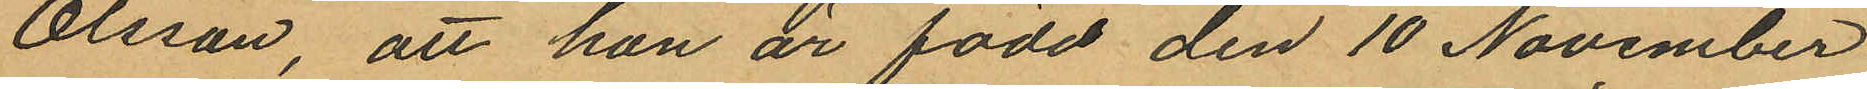Olsson, att hon är född den 10 November
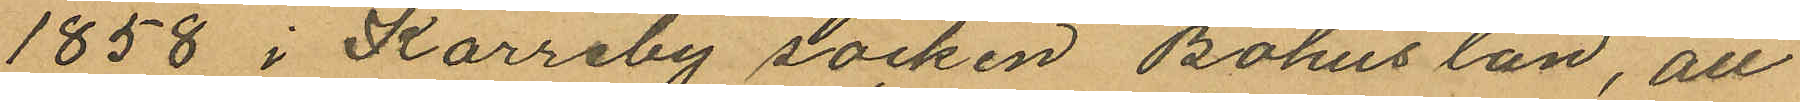1858 i Karreby socken Bohus län, att
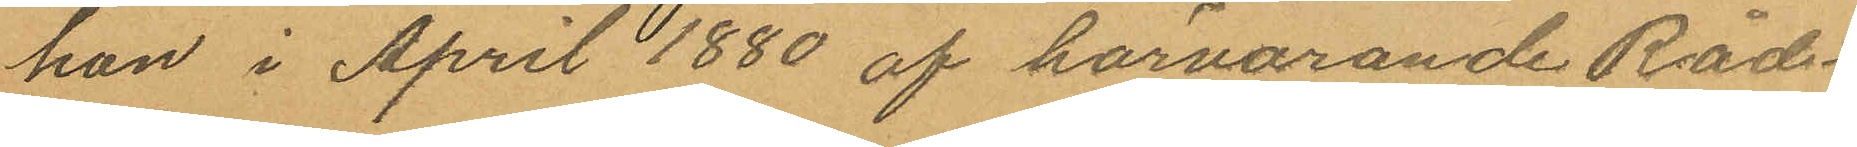hon i April 1880 af härvarande Råd¬
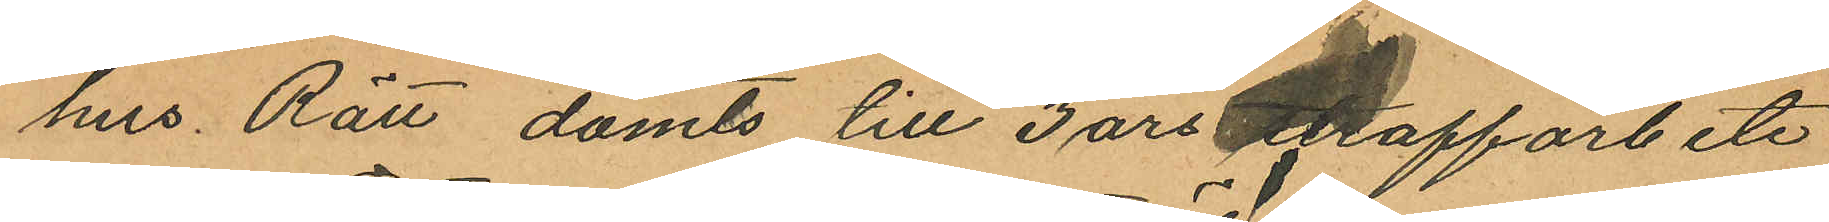hus Rätt dömts till 3 års straffarbete
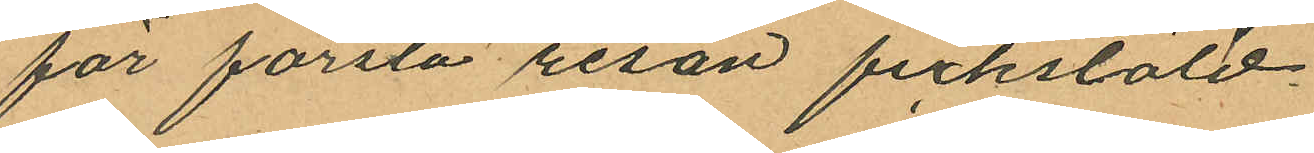för första resan fickstöld.
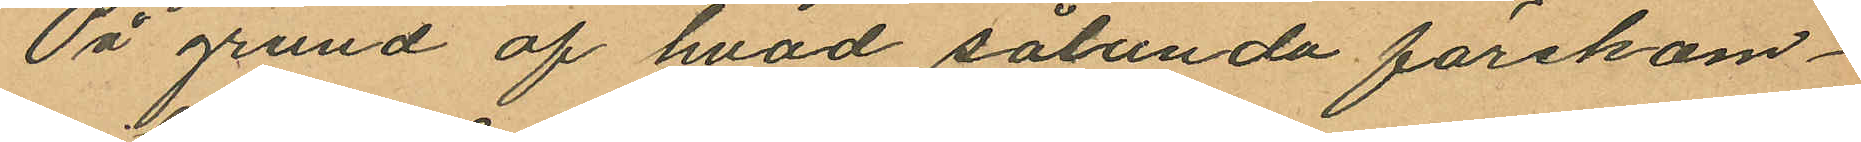På grund af hvad sålunda förekom¬
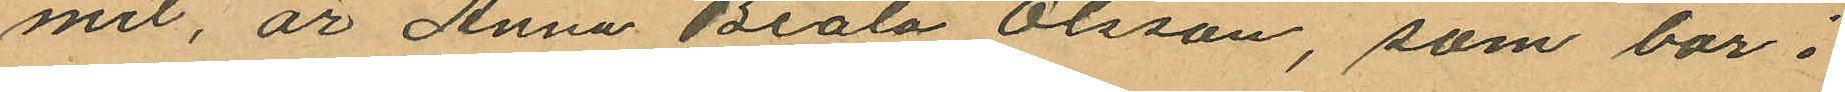mit, är Anna Beata Olsson, som bor i
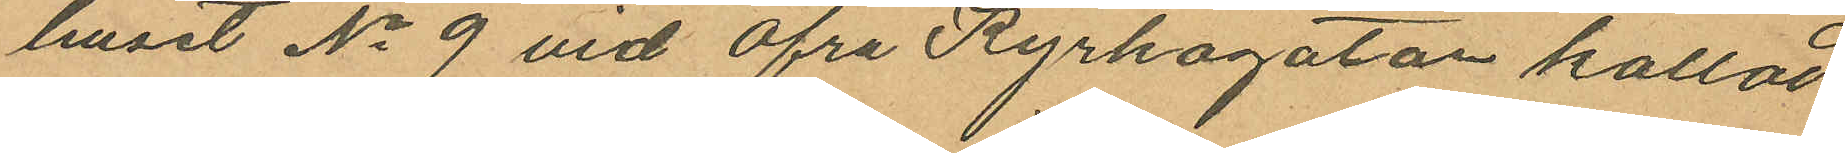huset No 9 vid Öfra Kyrkogatan kallad
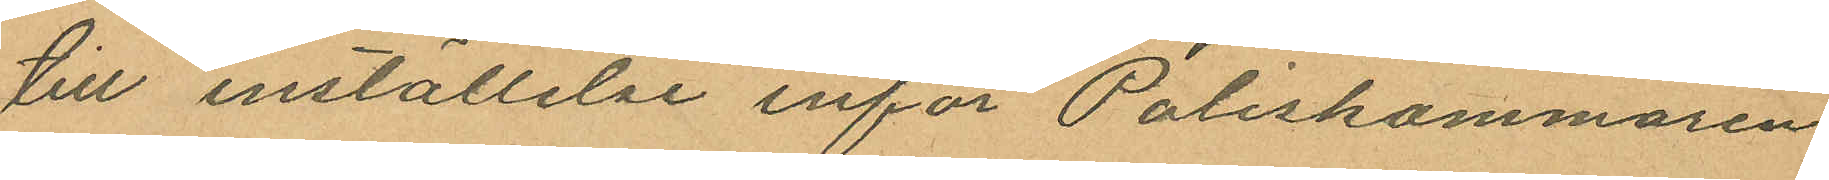till inställelse inför Poliskammaren
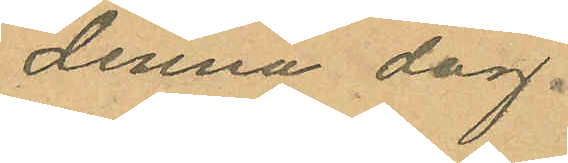denna dag.
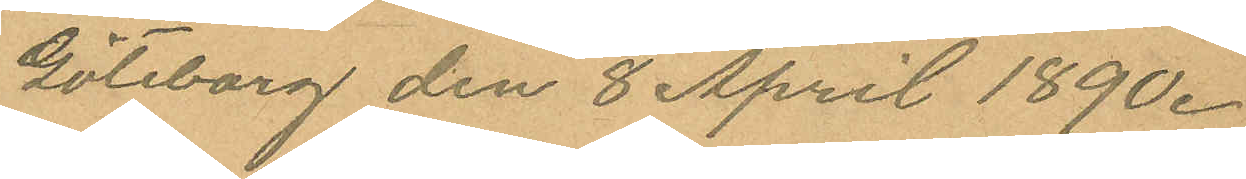Göteborg den 8 April 1890.
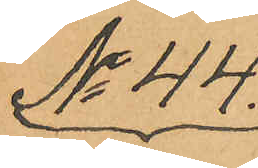No 44.
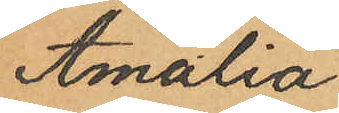Amalia
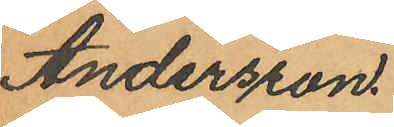Andersson.
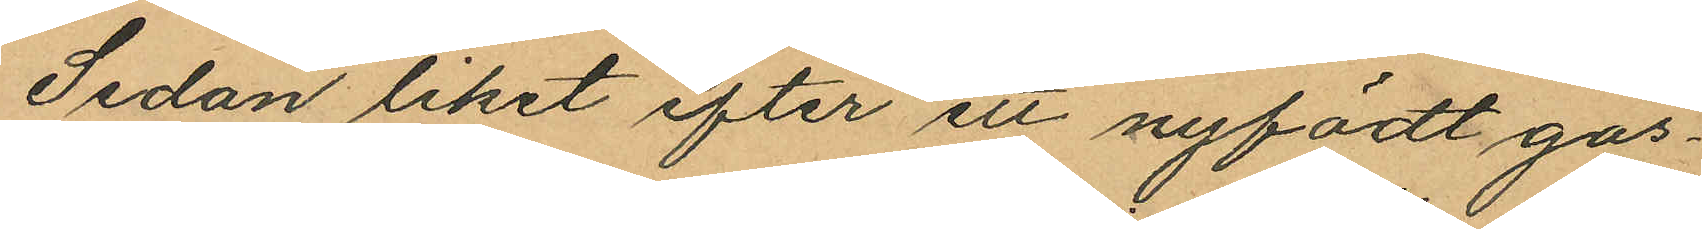Sedan liket efter ett nyfödt gos¬
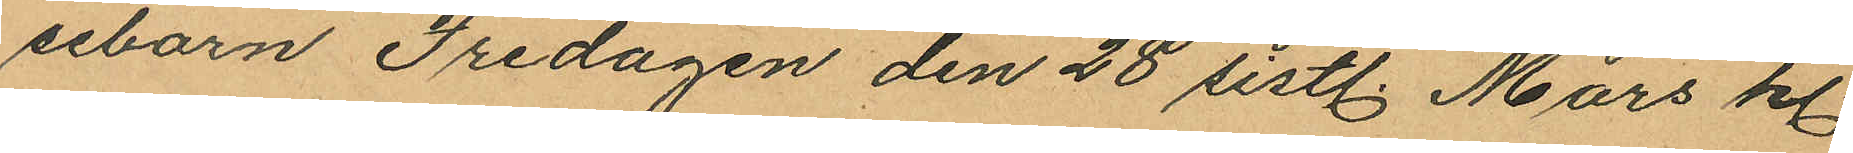sebarn Fredagen den 28 sistl. Mars kl.
